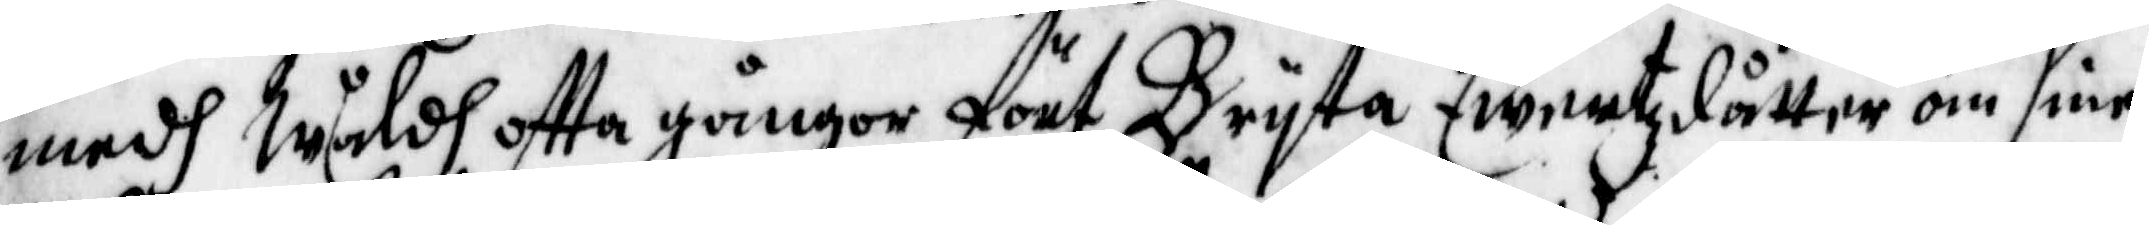medh wåldh otta gångor fört Bryta Ewertzdåtter om sine
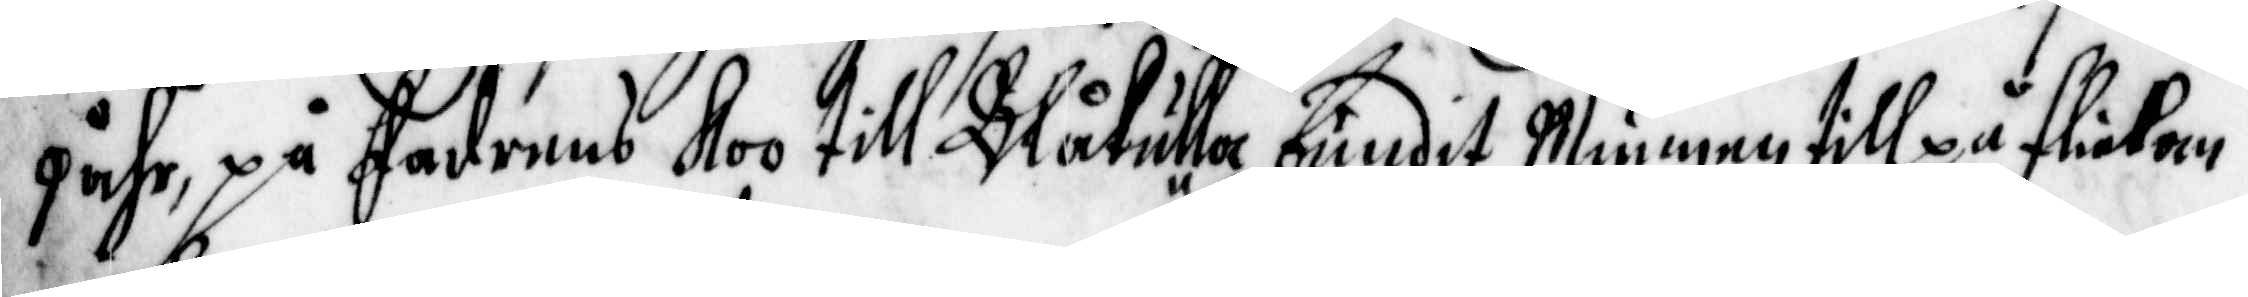9 åhr, på fadrens Koo till Blåkulla, bundet Munnenn till på flickan
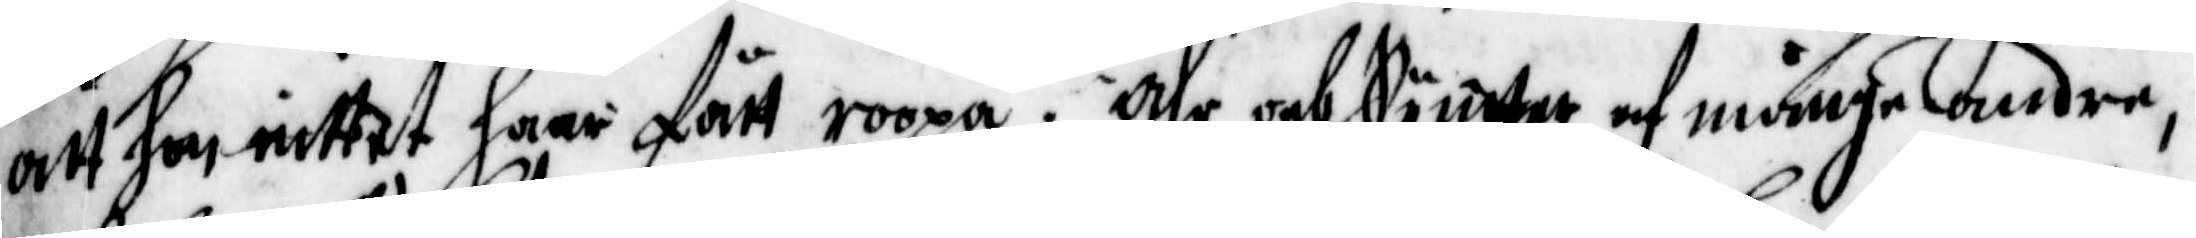att hon intet haar fått roopa. Ähr och Synter af månge andre,
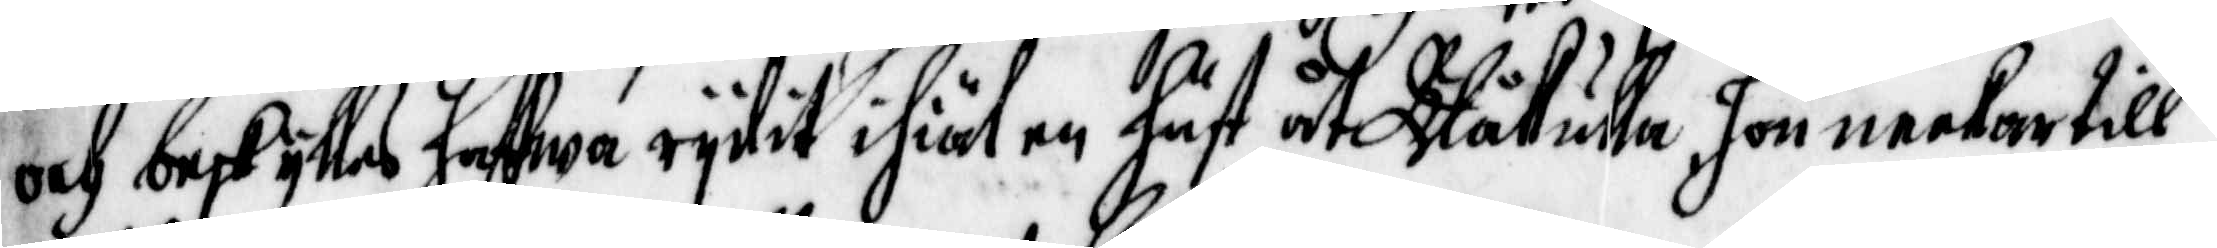och beskyllas hafwa rydit ihiäl en häst uti Blåkulla. Hon neekar till
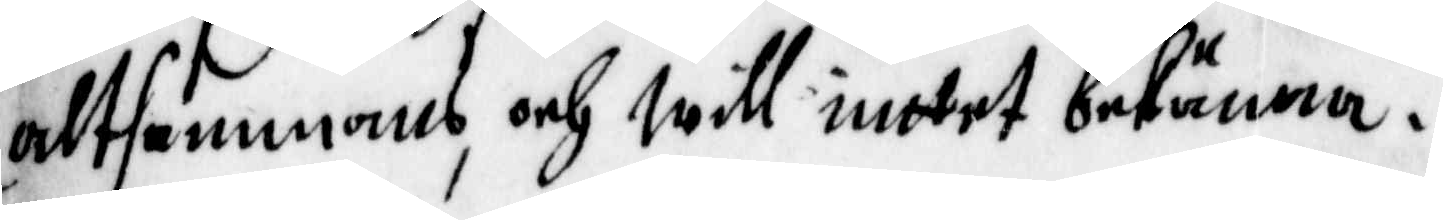Altsammans, och will inttet bekänna.
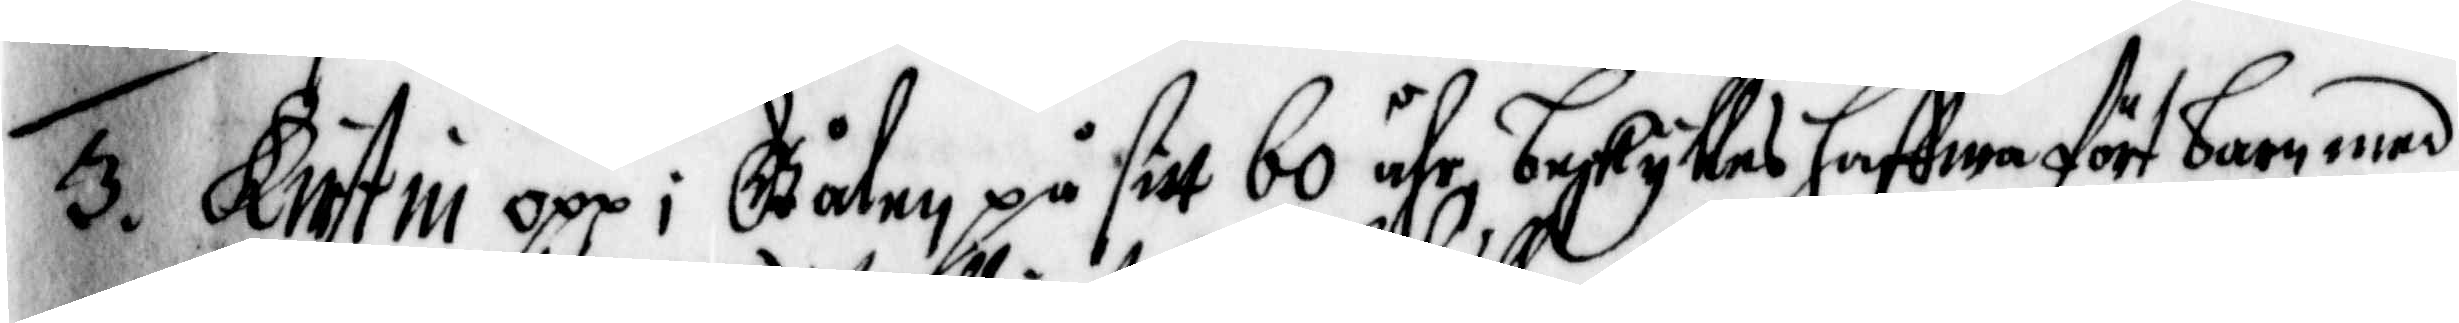3. Kirstin opp i Gålen på sitt 60 åhr, beskylla haffwa fört barn med
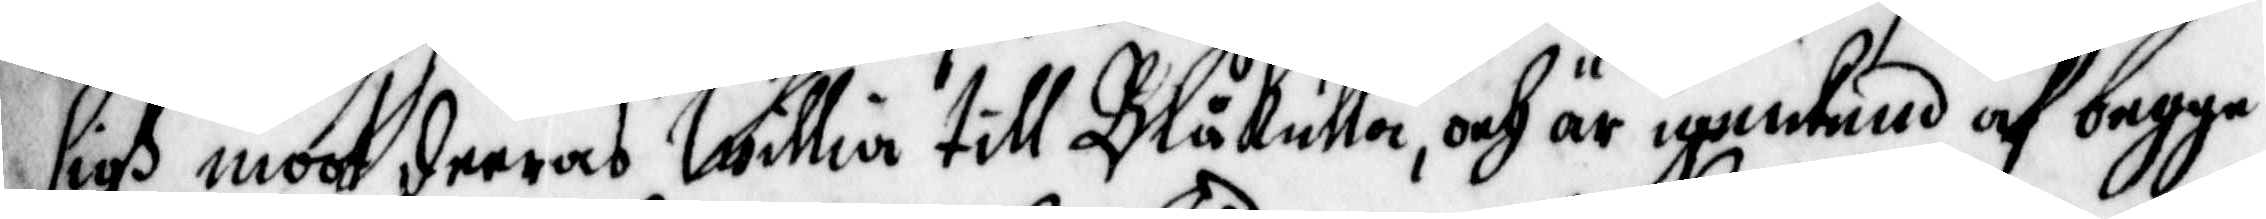sigh moot deeras Willia till Blåkulla, och är igenkend af begge
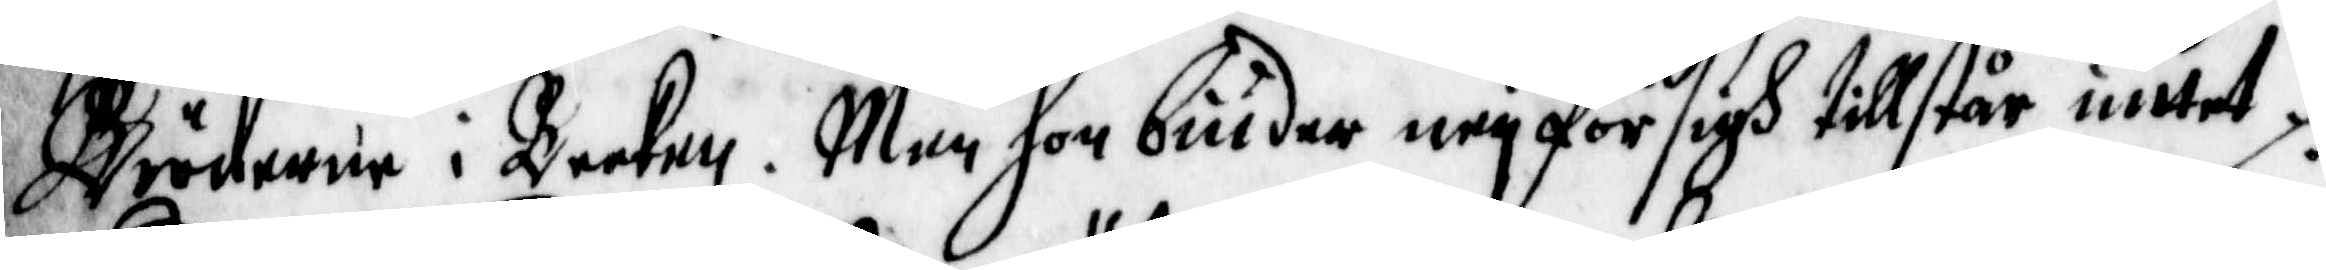Bröderne i Becken. Men hon biuder eey för sigh tillstår intet.
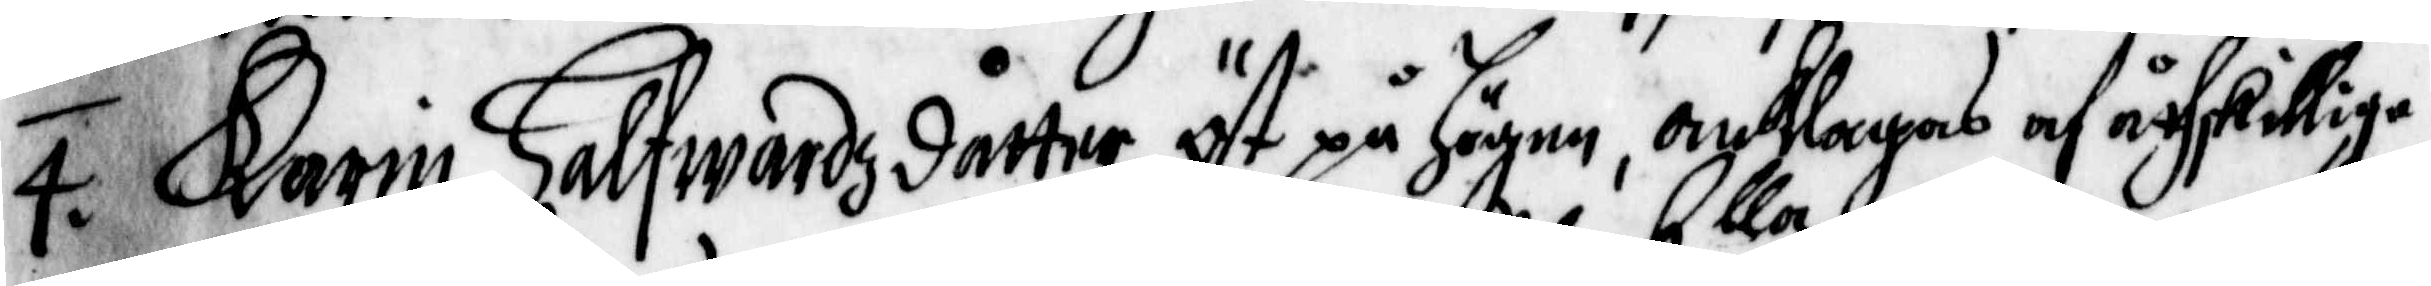4. Karin Halfwardz dåtter öst på Högen, anhlagas af åthskillige
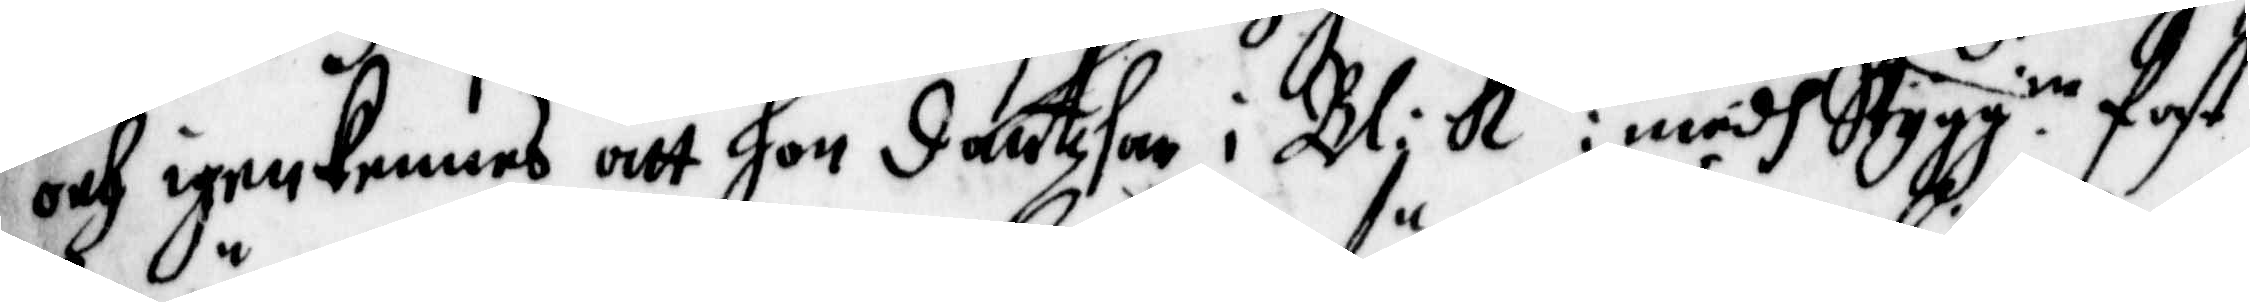och igenkennes att hon Dantzhar i Bl: K:lla : medh Stygg ia fast
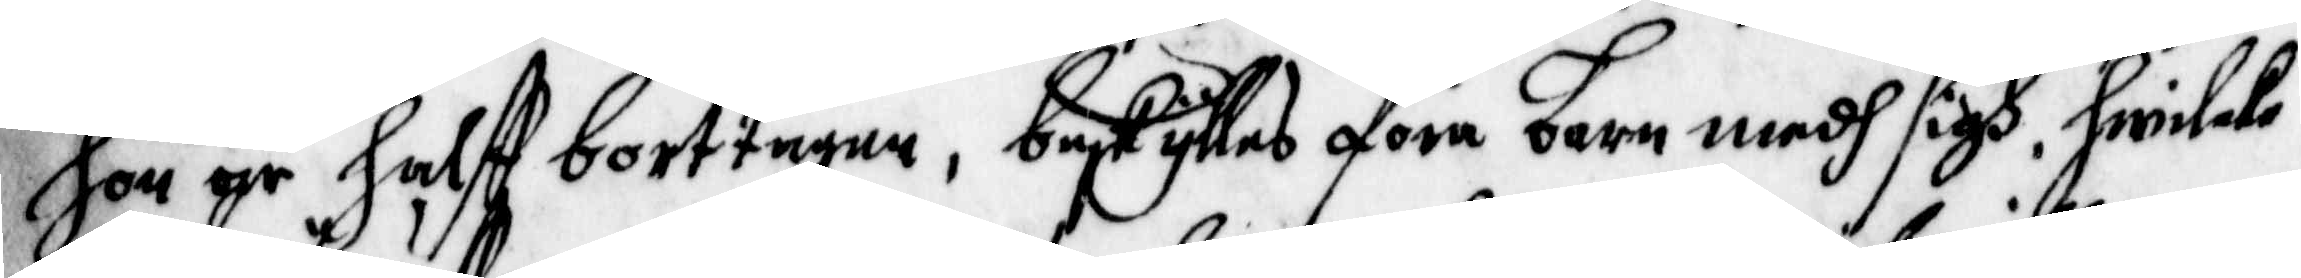hon är Halfft borttagen, beskylles föra barn medh sigh, hwilcke
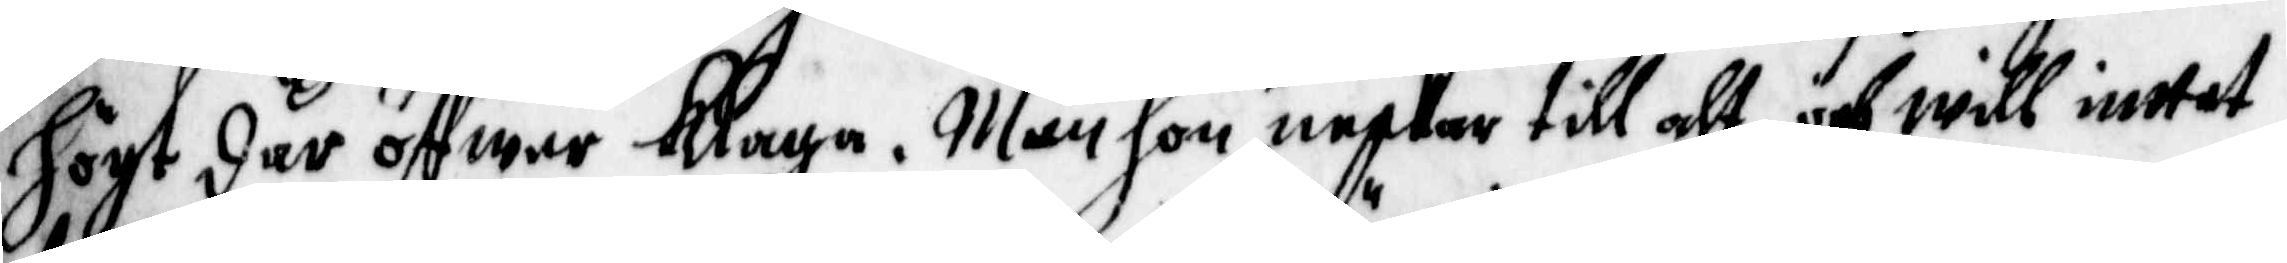högt där öffwer Klaga. Man hon neekar till alt, och will inttet
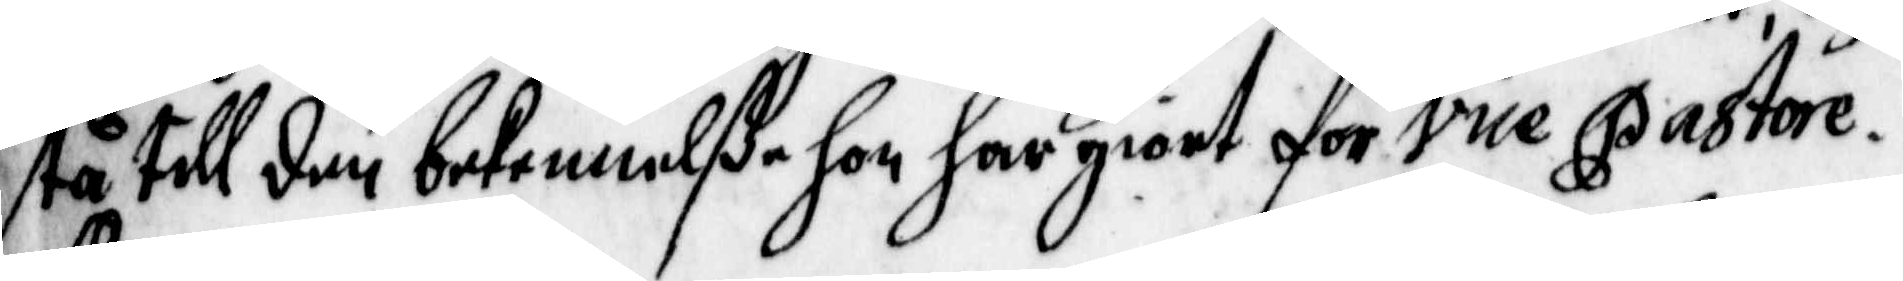stå till den bekennelße hon har giort för vice Pastore.
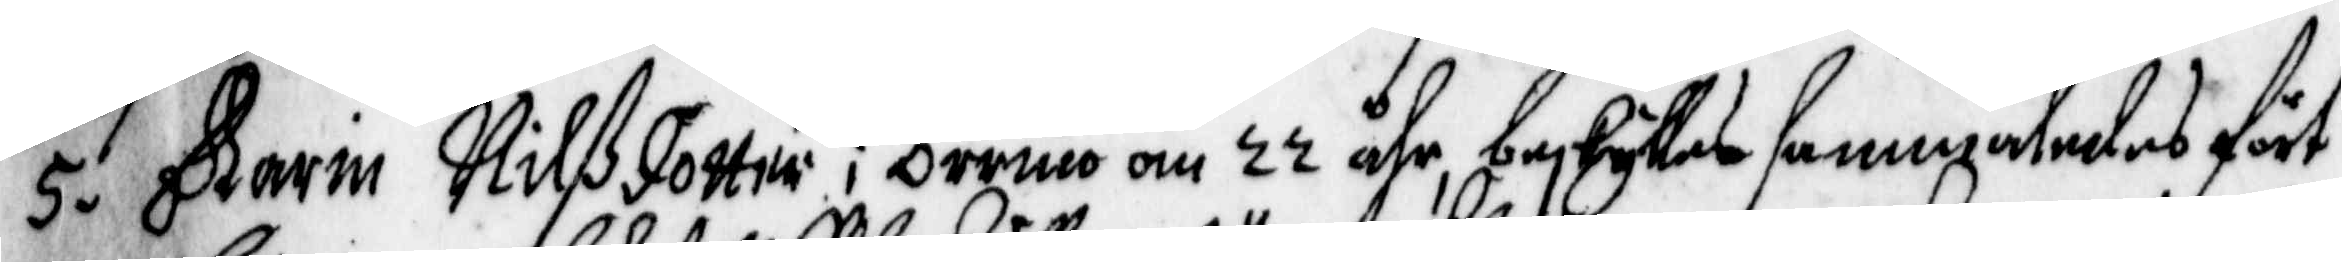5. Karin Nilsdotter i orrmo om 22 åhr, beskylles sammanledes fört
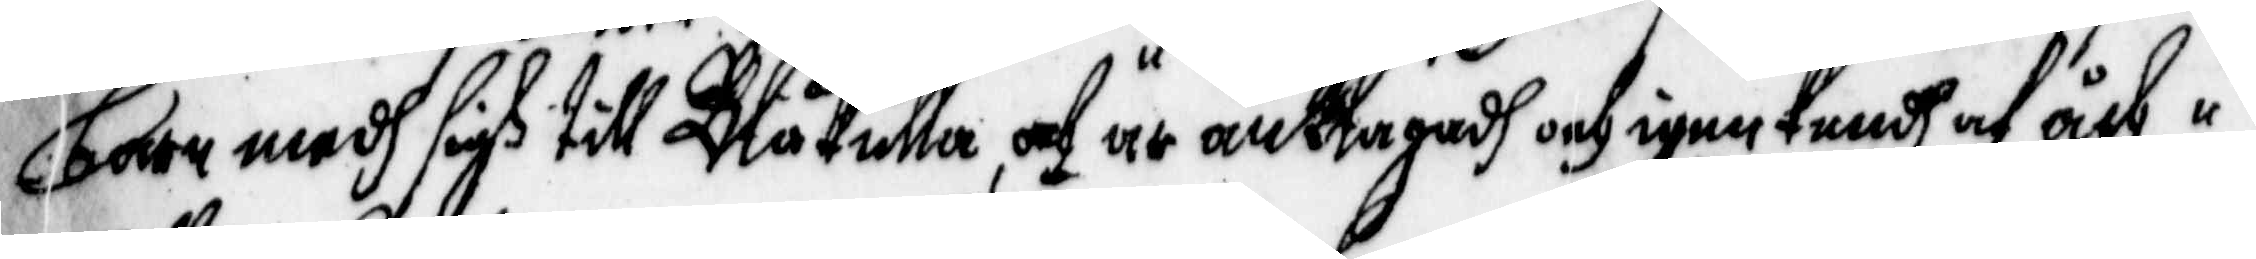barn medh sigh till Blåkulla, och är anklagadh och igenkendh af åth¬
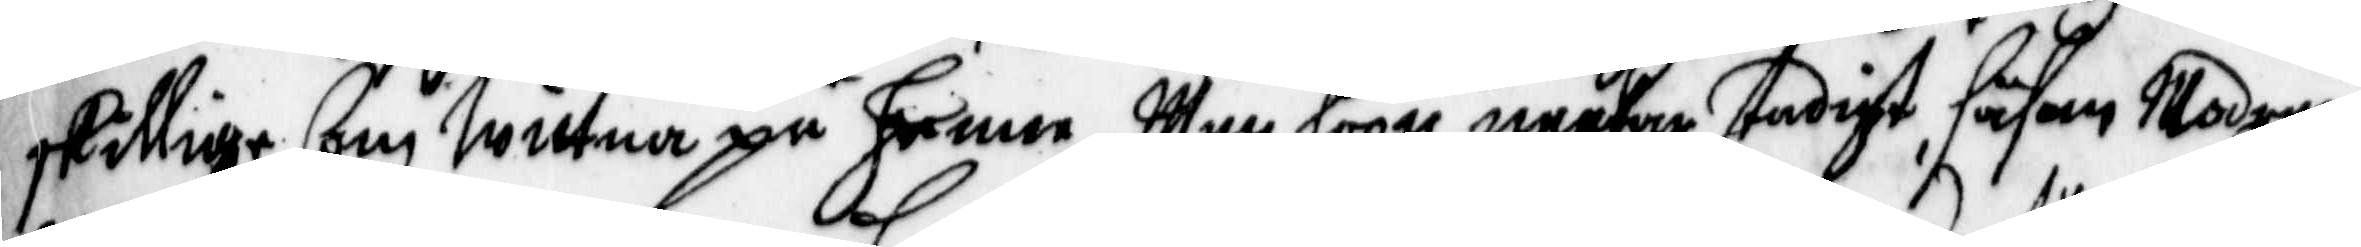skillige som wittna på henne, Man hoon neekar stadigt, såsom Modern
